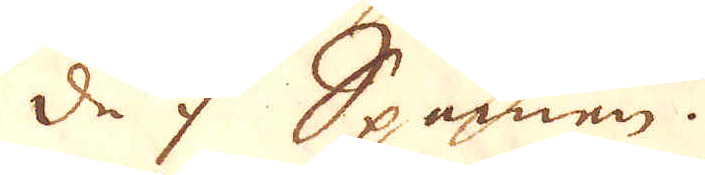de i Spanien.
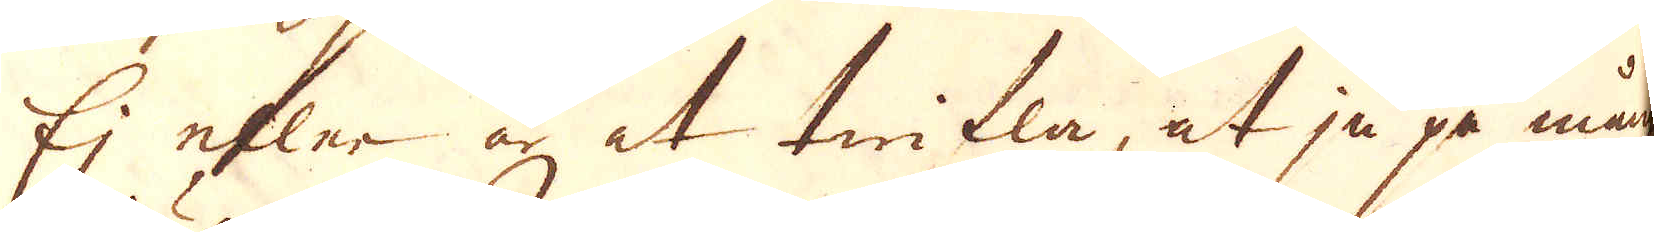Ej eller är et twifla, at ju på många
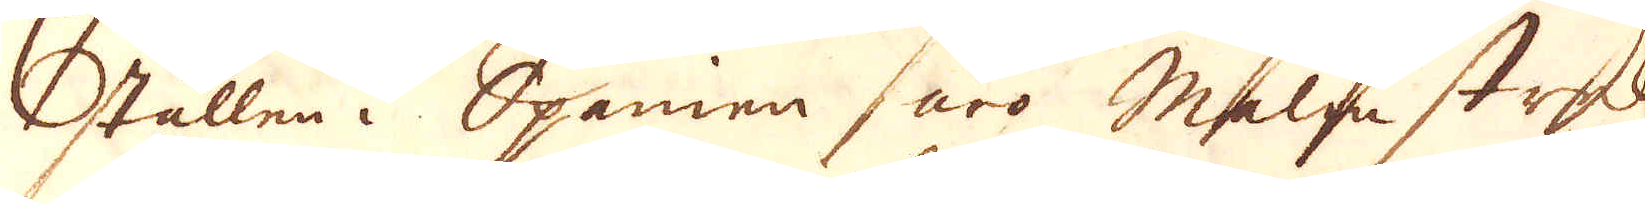ställen i Spanien äro Malm streck
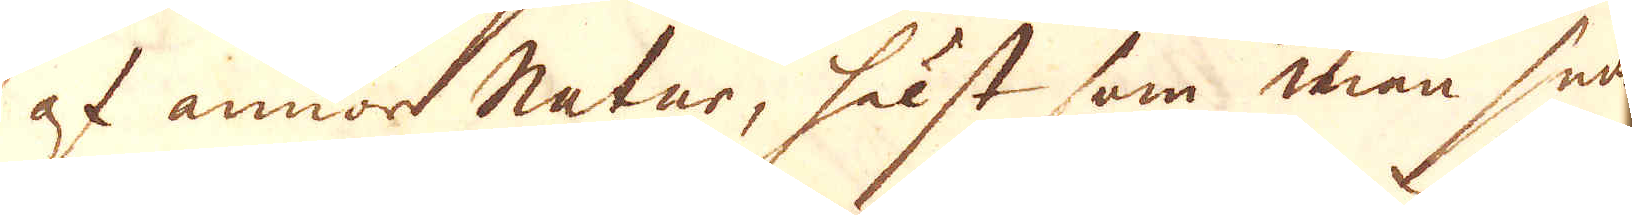af annan natur, hälst som man hade
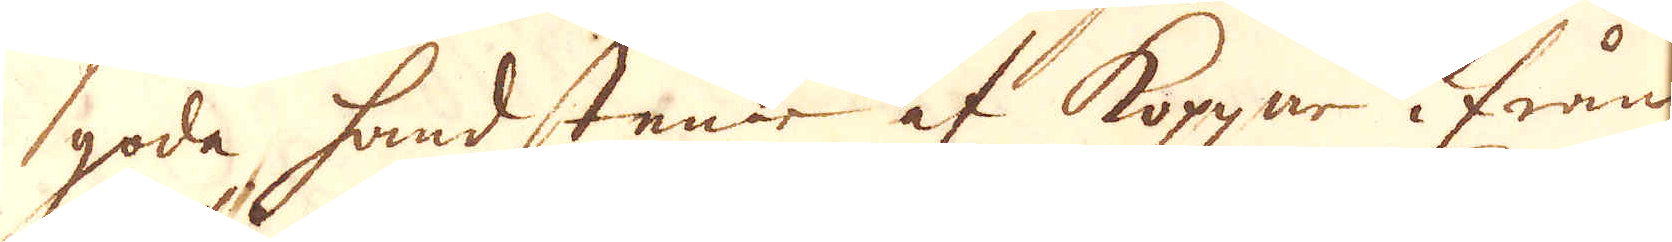goda handstenar af Koppar ifrån
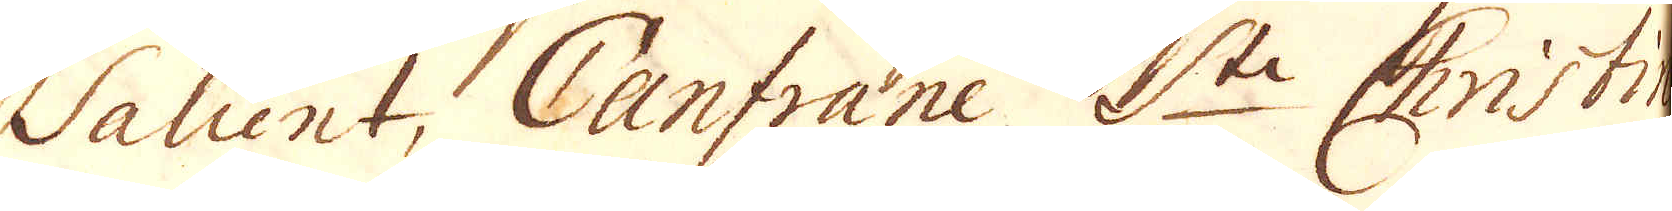Salient, Canfrane S:te Christine
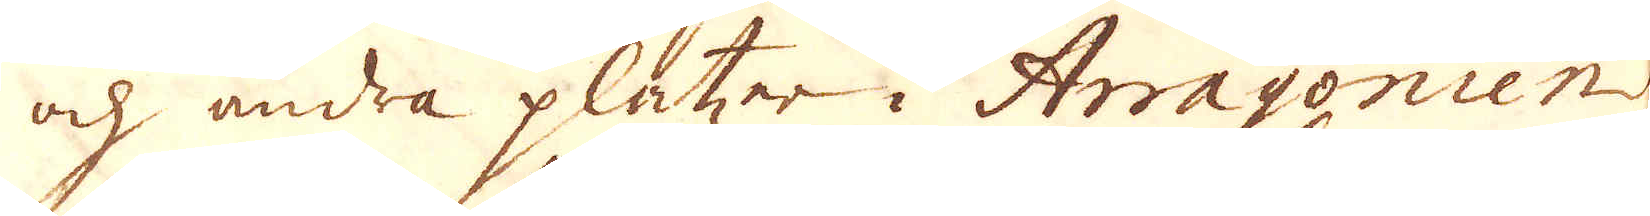och andra platzer i Arragonien
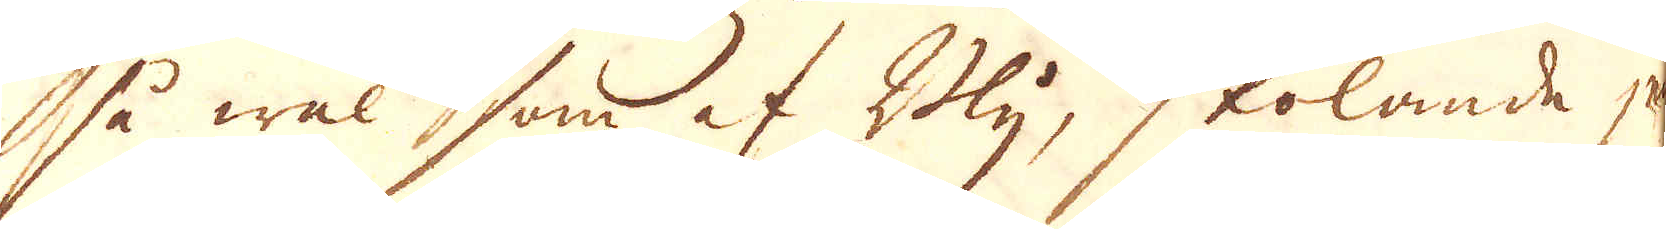så wäl som af Bly, skolande ju
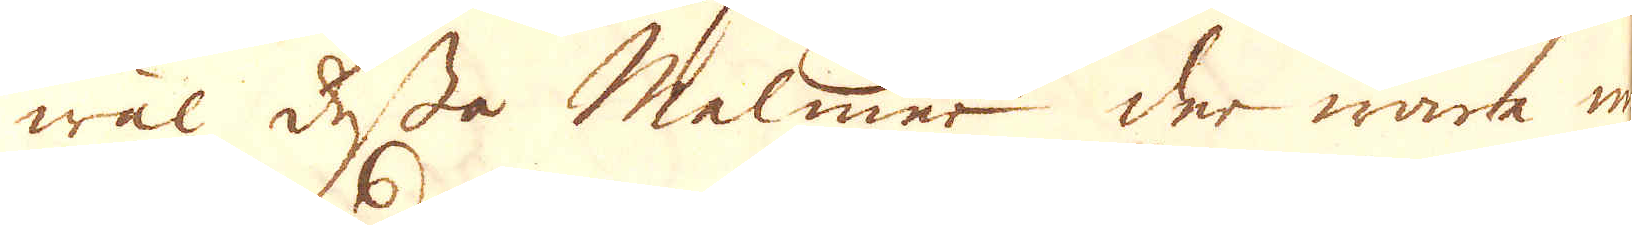wäl dessa Malmer der wara min-
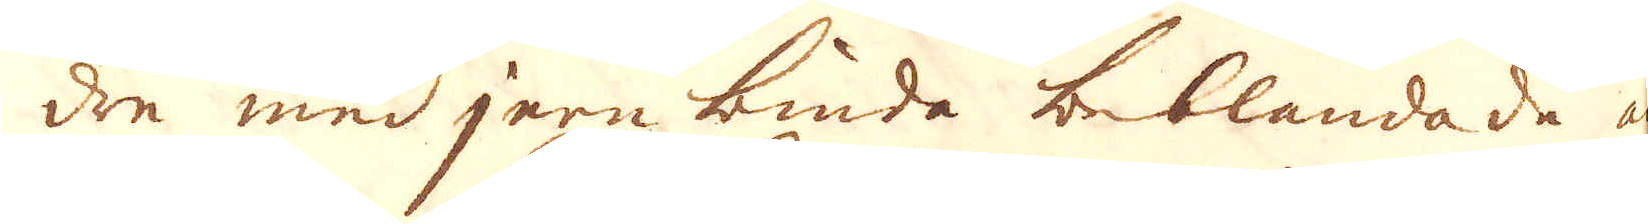dre med jern binda beblandade än
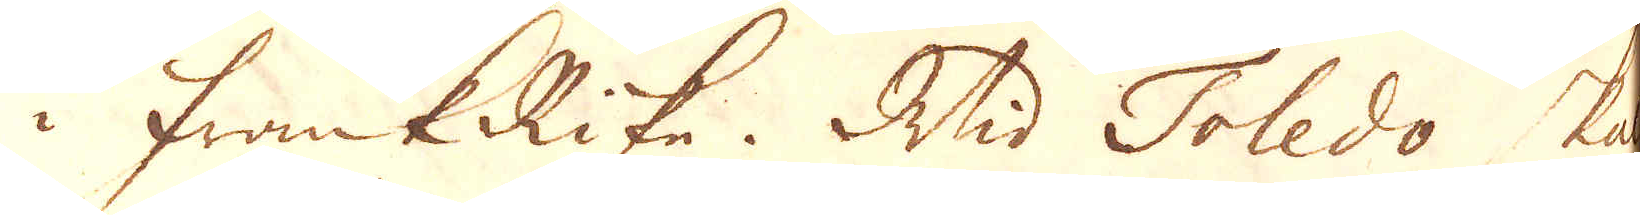i FrankRike. Wid Toledo skal
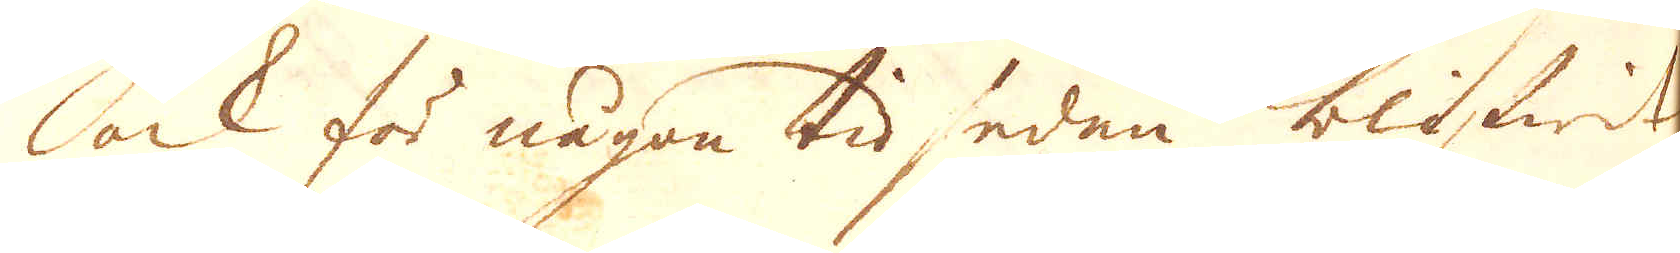lock för någon tid sedan blifwit
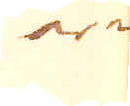ar-
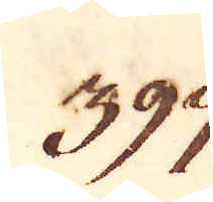397.
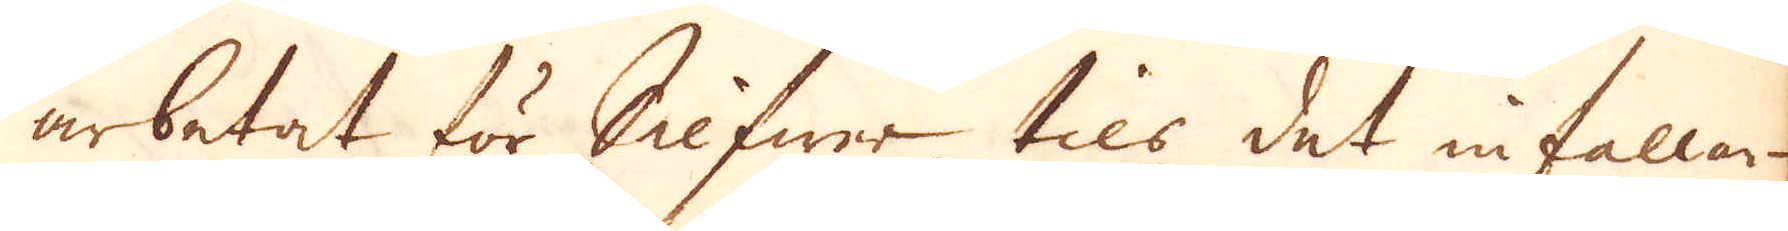arbetat för Silfwer tils det infallan-
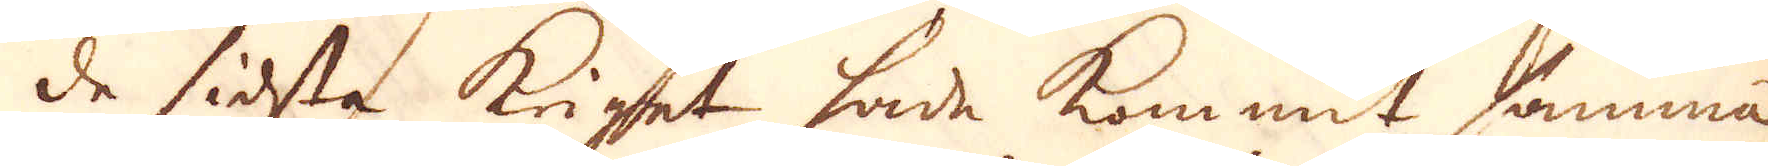de sidsta kriget hade kommit samma
